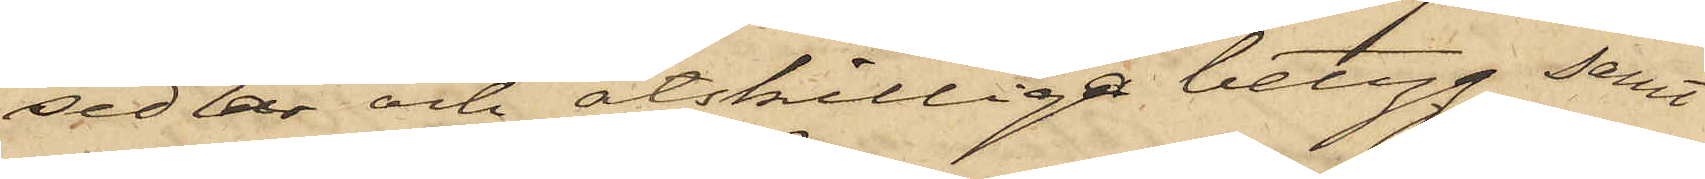sedlar och åtskilliga betyg samt
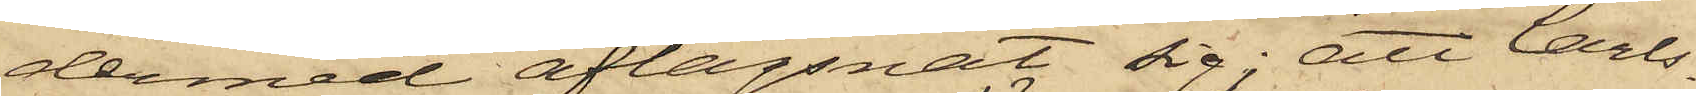dermed aflägsnat sig; att Carls¬
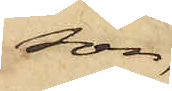son
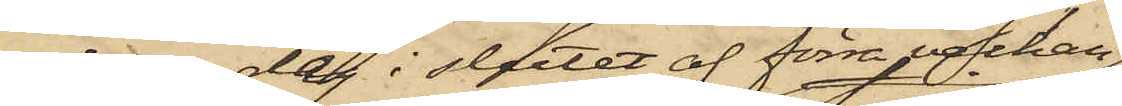någon dag i slutet af förra veckan
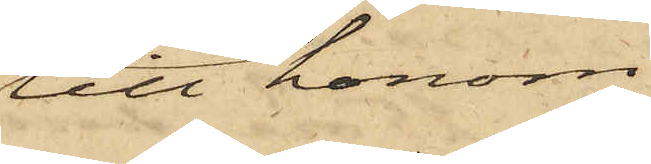till honom
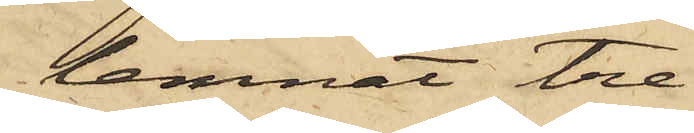lemnat tre
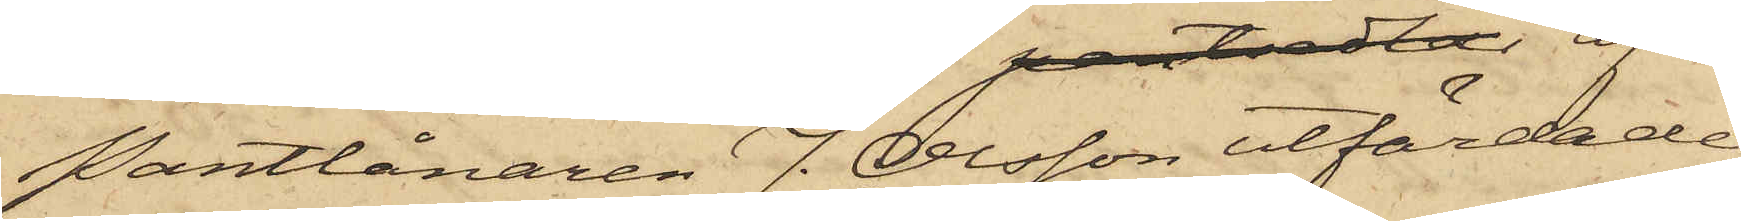Pantlånaren J. Olsson utfärdade
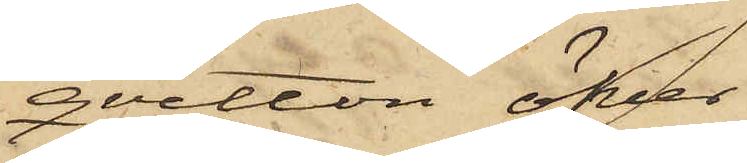qvitton öfver
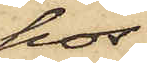hos
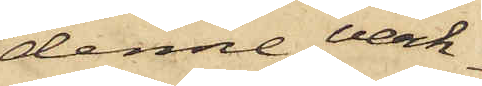denne verk¬
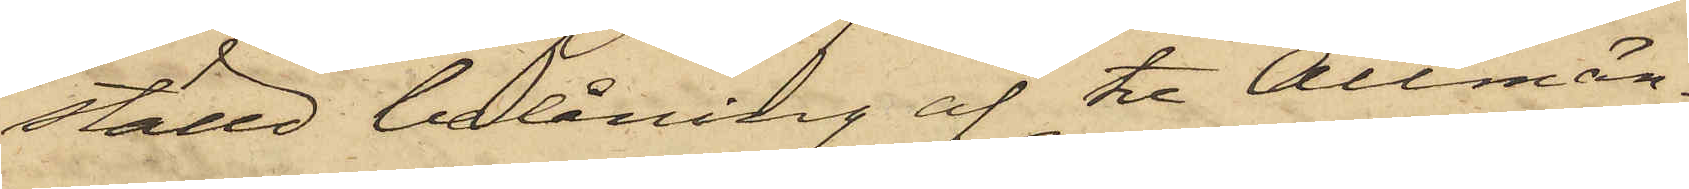ställd belåning af tre Allmän¬
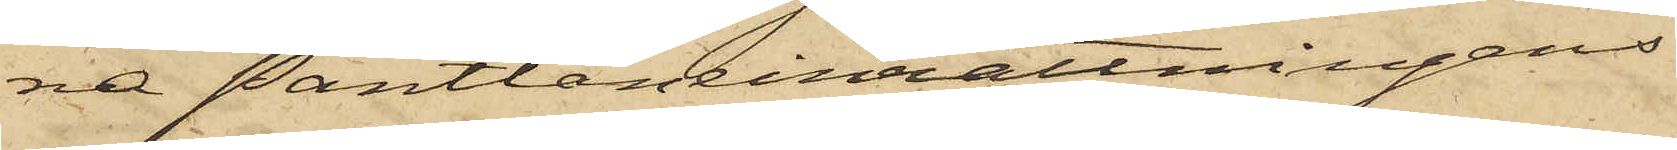na Pantlåneinrättningens
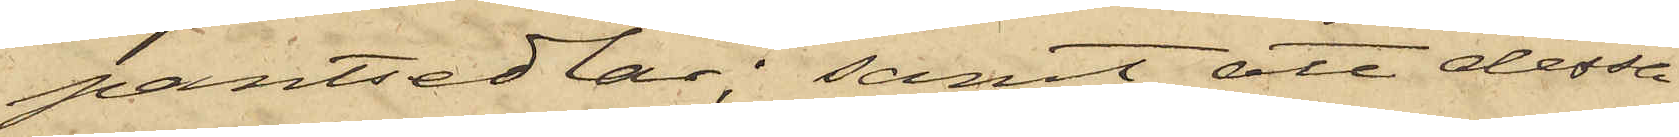pantsedlar; samt att dessa
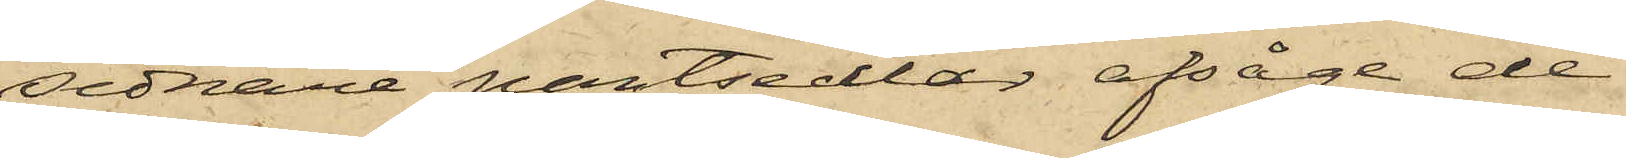sednare pantsedlar afsåge de
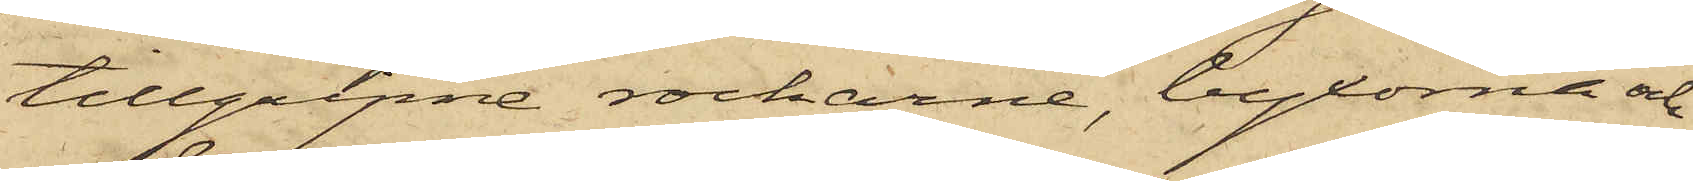tillgripne rockarne, byxorna och
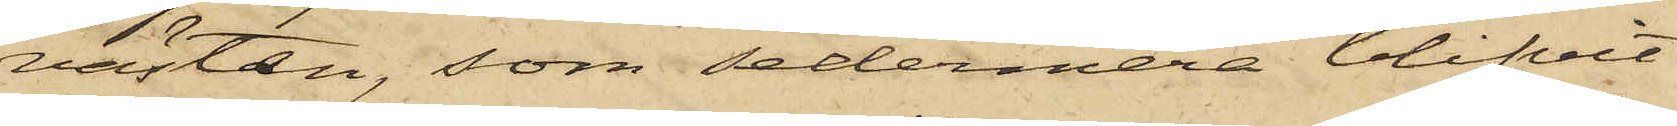västen, som sedermera blifvit
